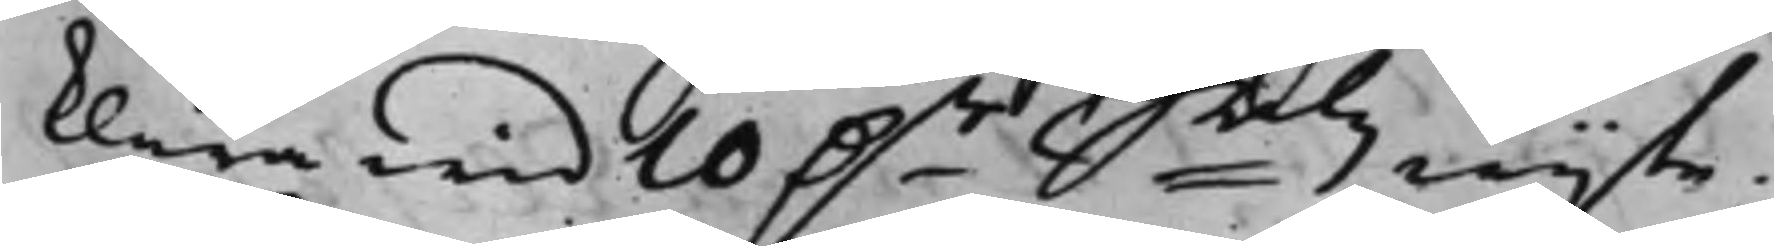klara wid 10 D.r Smtz wijte.
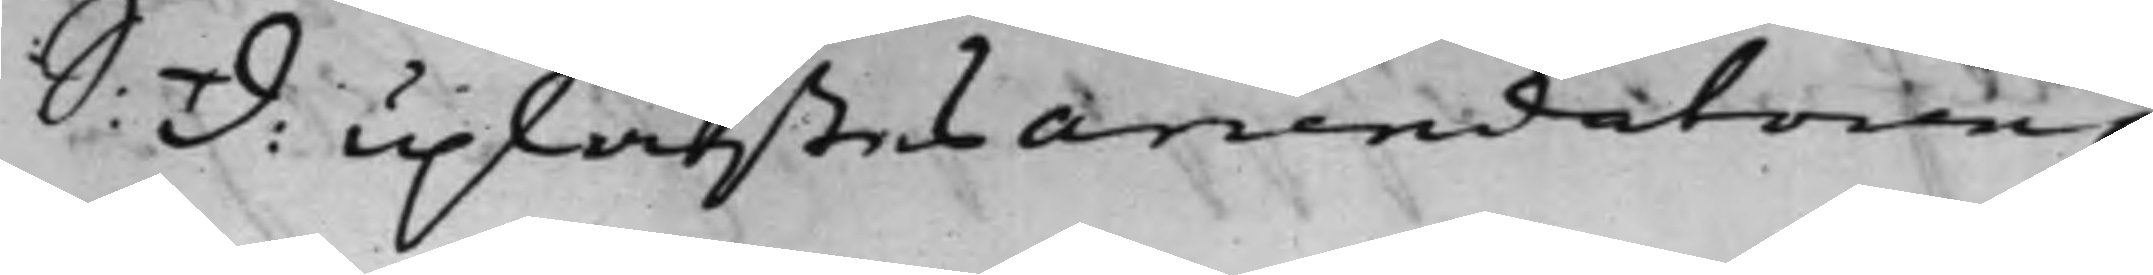S: D: Uplästes arrendatoren
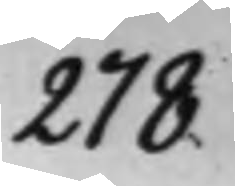278.
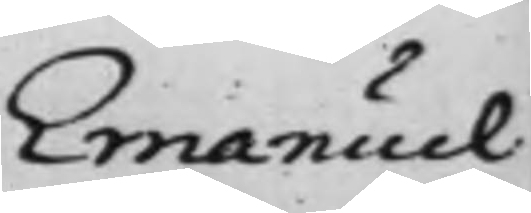Emanuel 
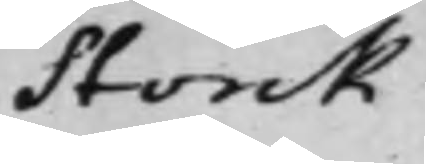Storck
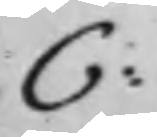C:
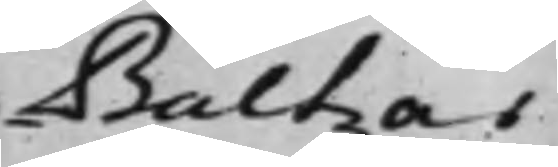Baltzar
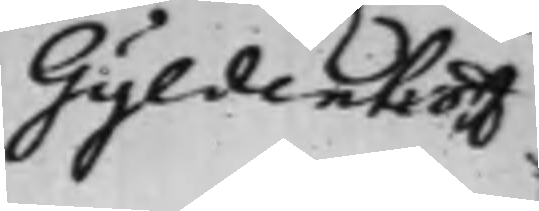Gyldenhoff
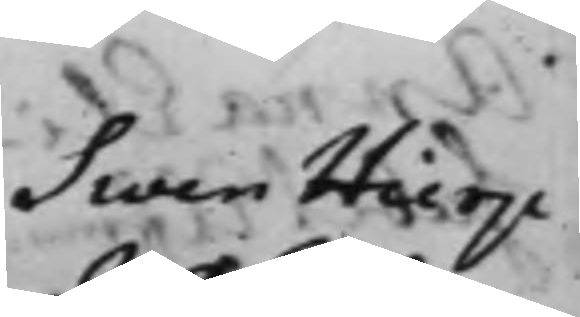Swen Hierpe
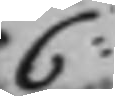C:
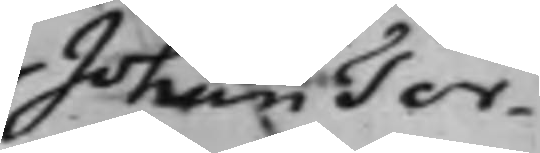Johan Tor¬
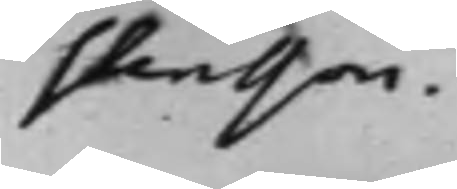stensson.
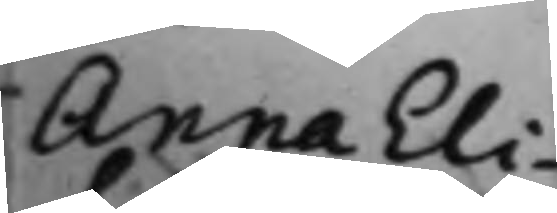Anna Eli¬
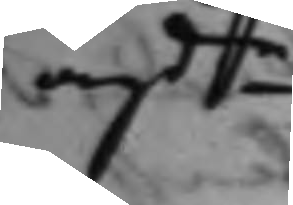angde
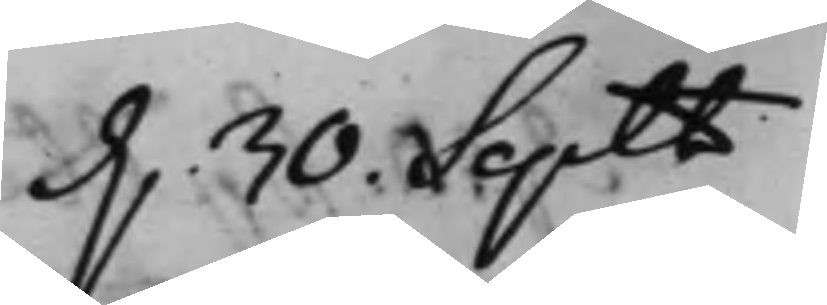d. 30. Septbr
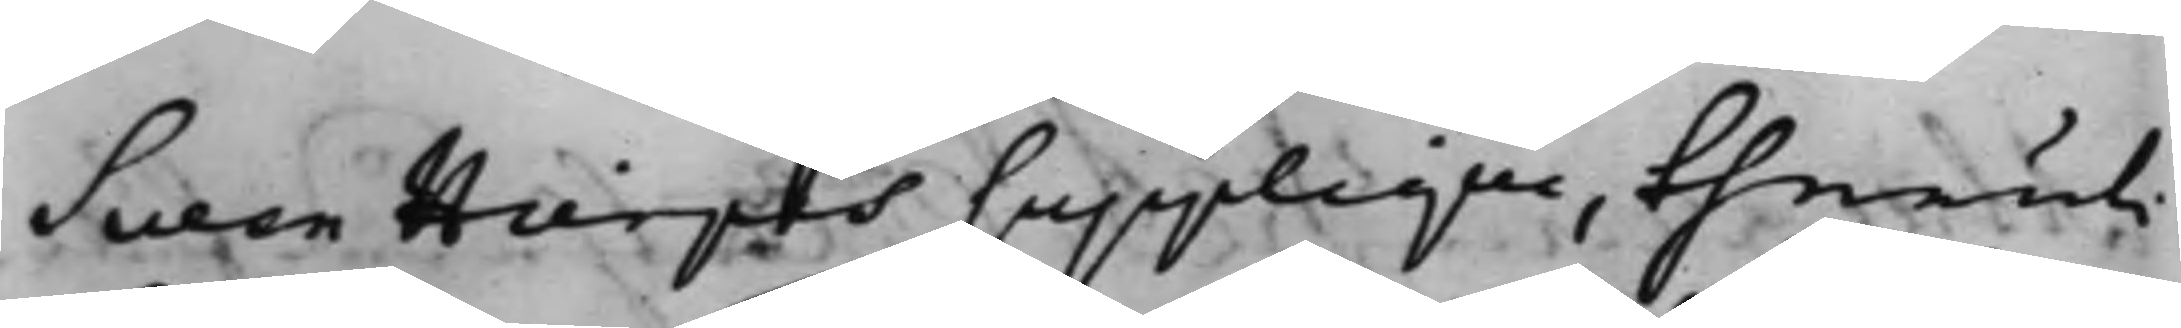Swen Hierpes Supplique, theruti
